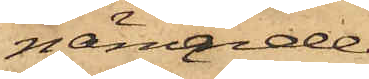nämnde
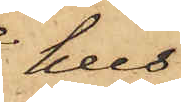hus
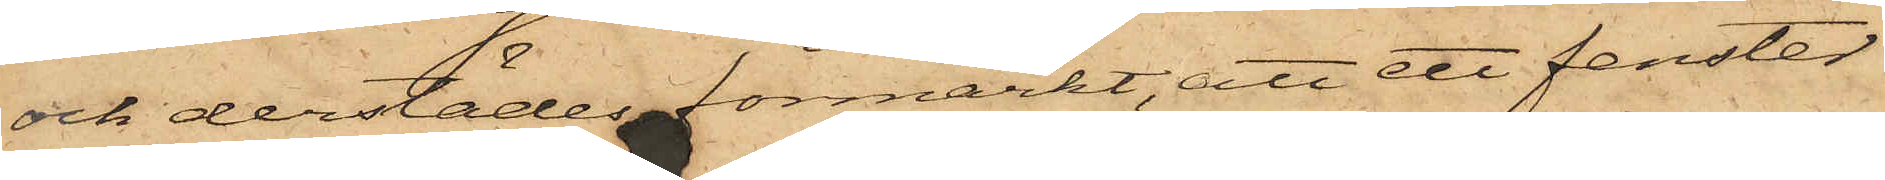och derstädes förmärkt, att ett fenster
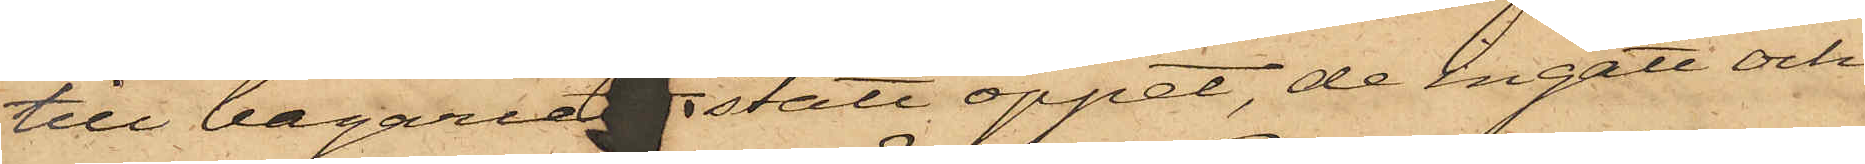till bageriet stått öppet, de ingått och
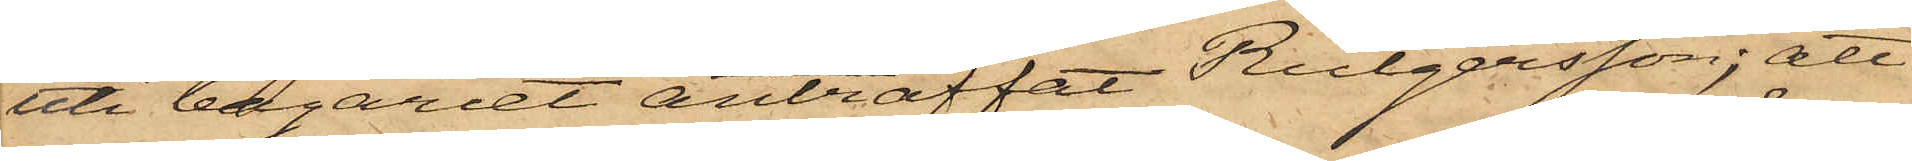uti bageriet anträffat Rutgersson; att
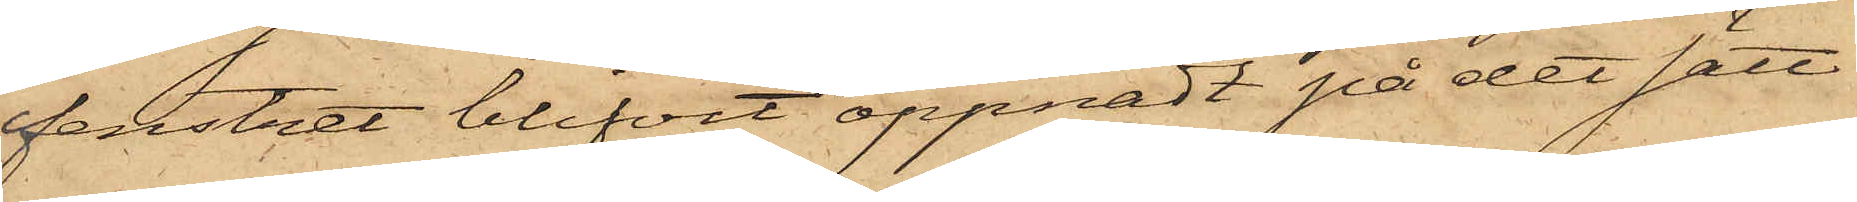fenstret blifvit öppnadt på det sätt
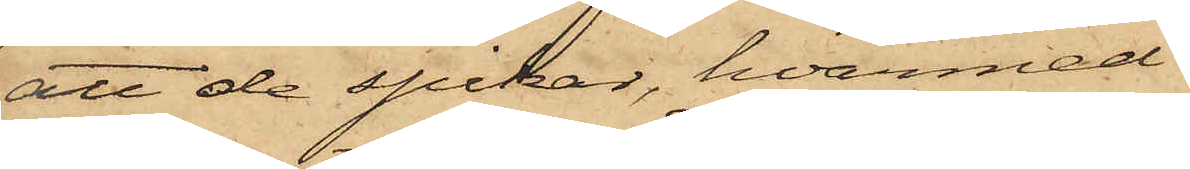att de spikar, hvarmed
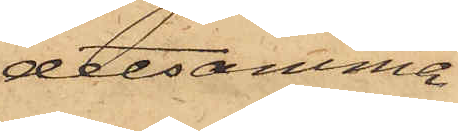detsamma
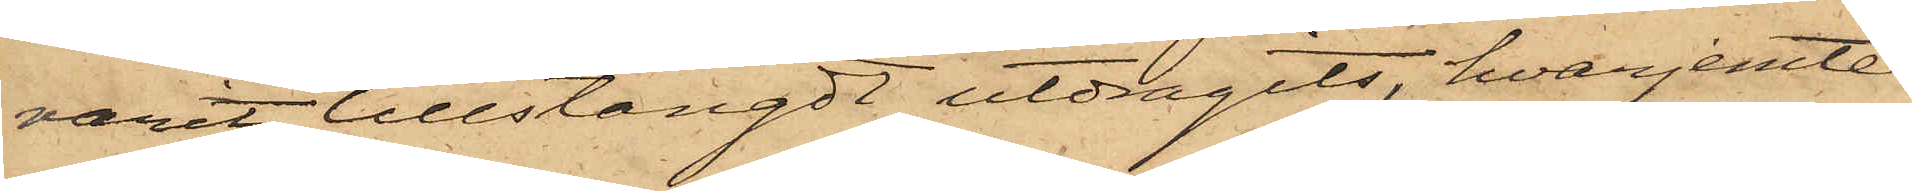varit tillstängdt utdragits, hvarjemte
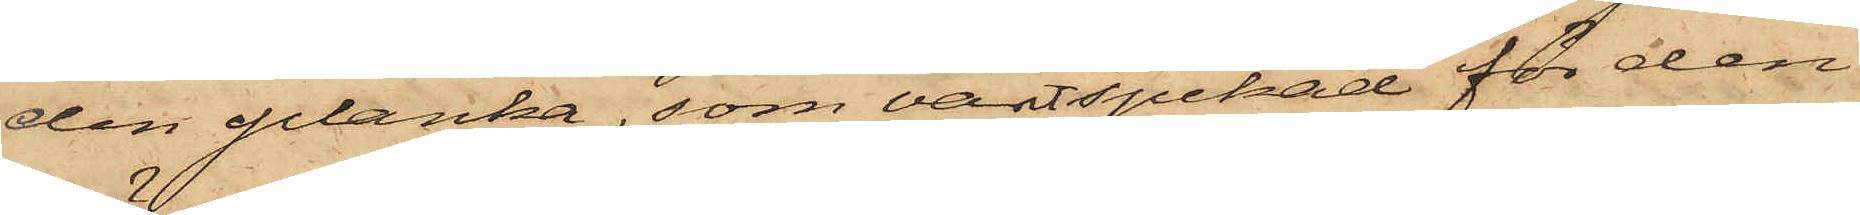den planka, som varit spikad för den
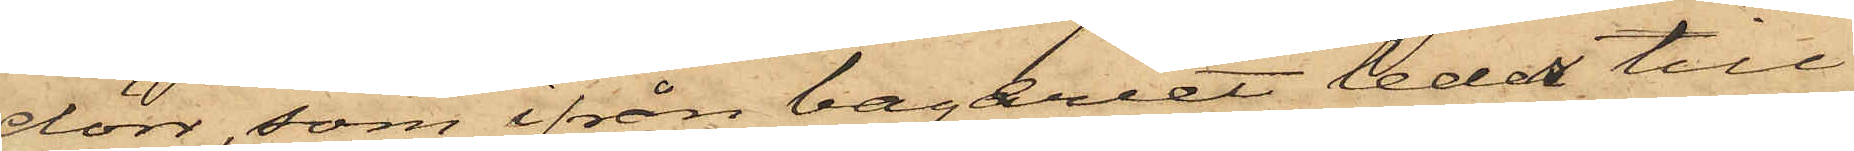dörr, som ifrån bageriet leder till
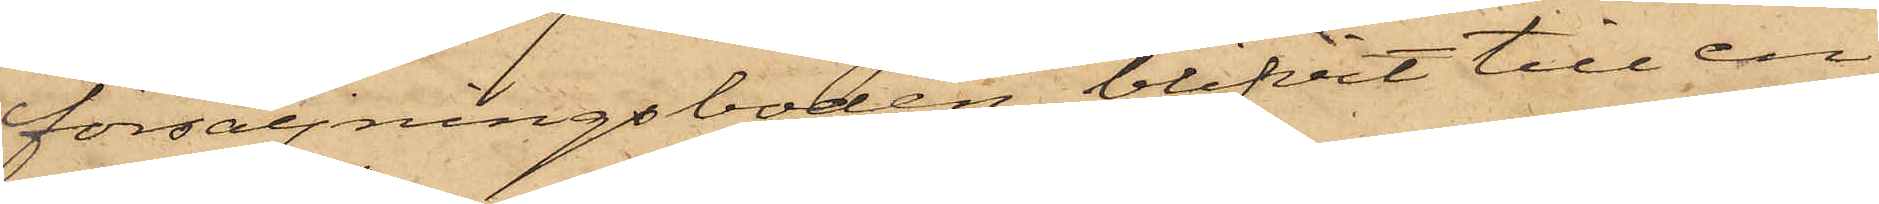försäljningsboden, blifvit till en
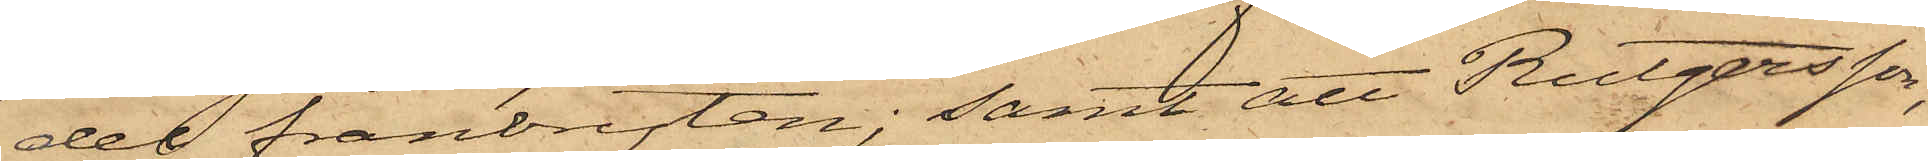del frånbruten; samt att Rutgersson,
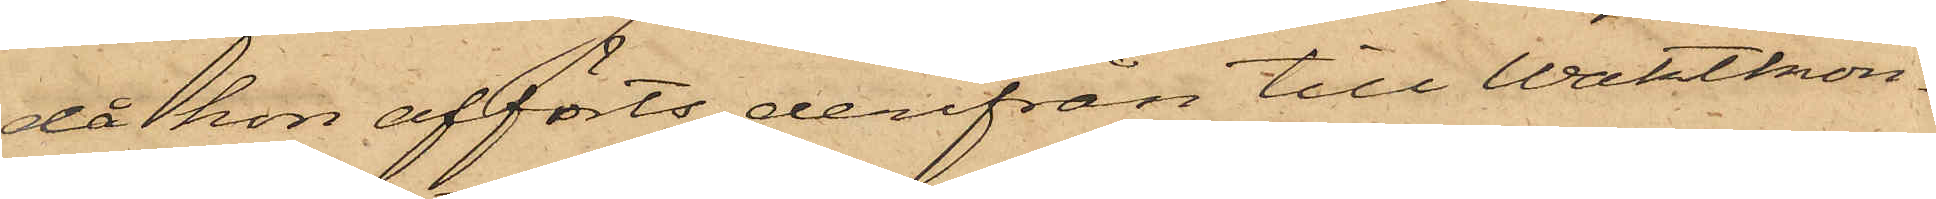då hon afförts derifrån till Waktkon¬
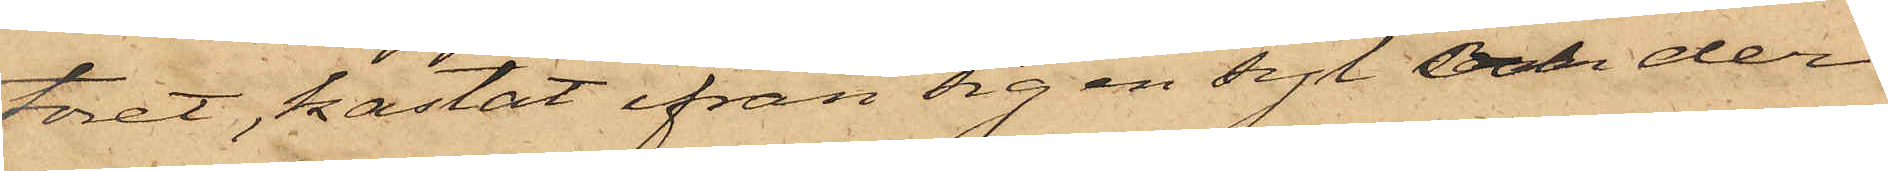toret, kastat ifrån sig en syl och der¬
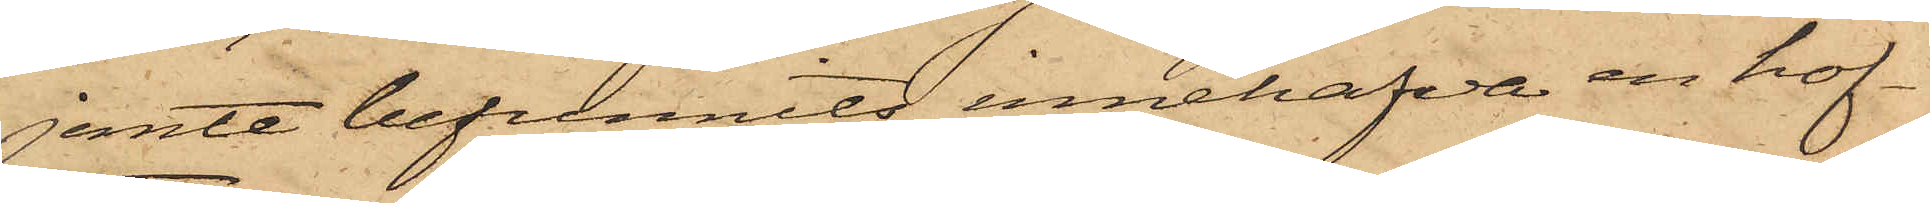jemte befunnits innehafva en hof¬
